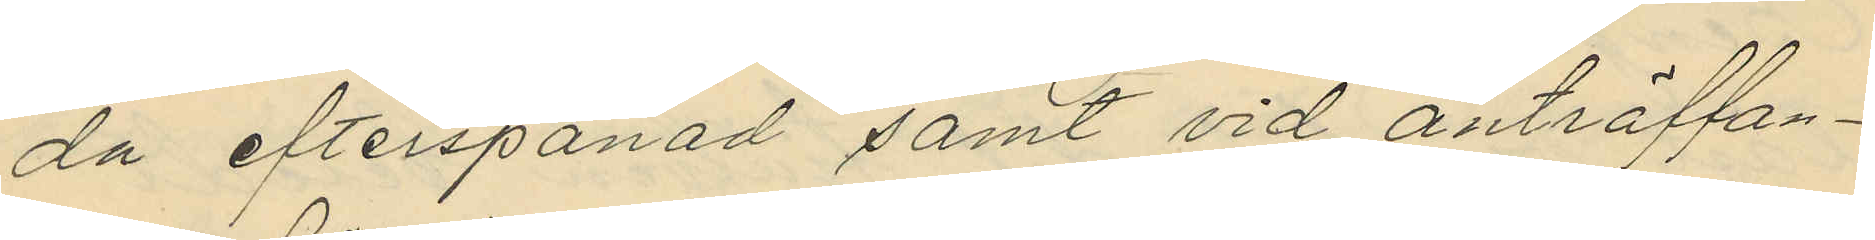da efterspanad samt vid anträffan¬
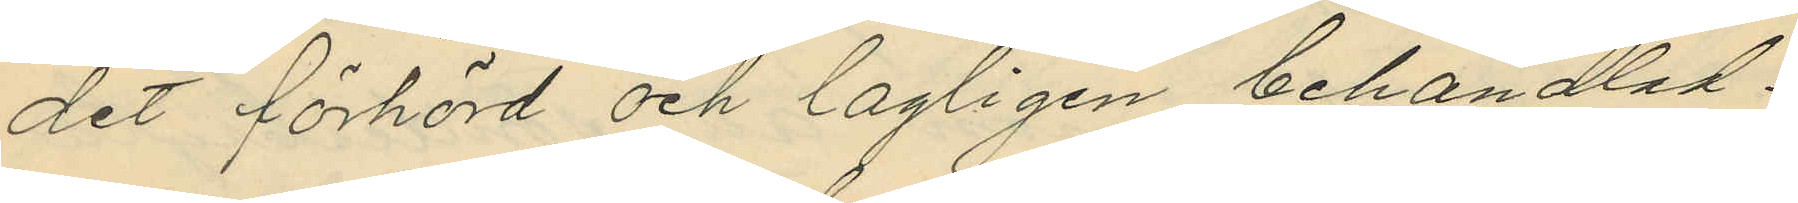det förhörd och lagligen behandlad.
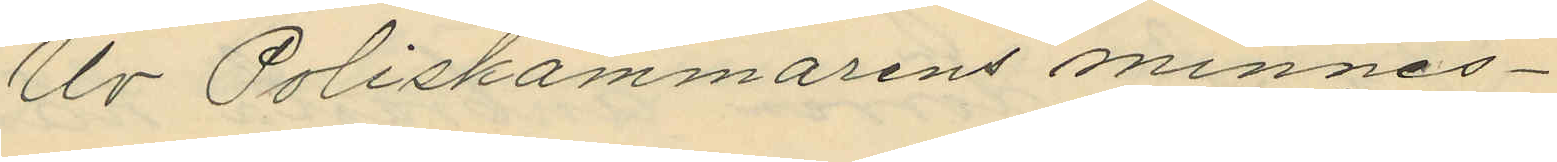Ur Poliskammarens minnes¬
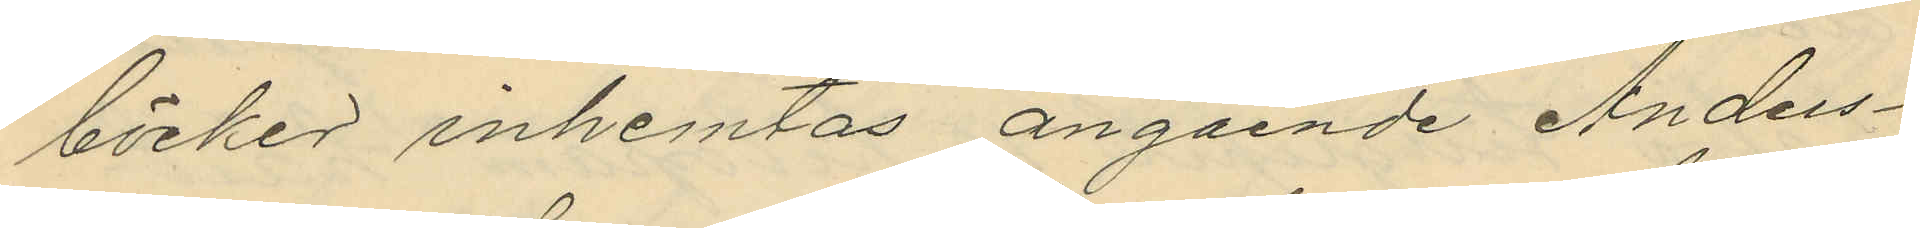böcker inhemtas angående Anders¬
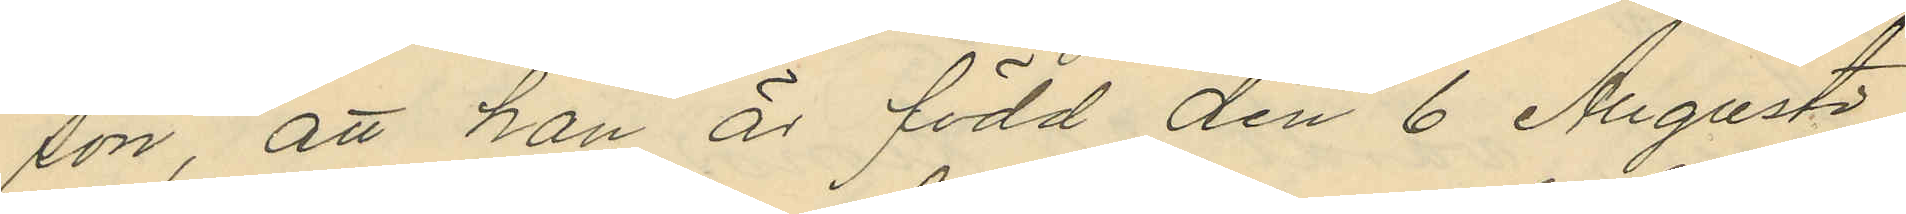son, att han är född den 6 Augusti
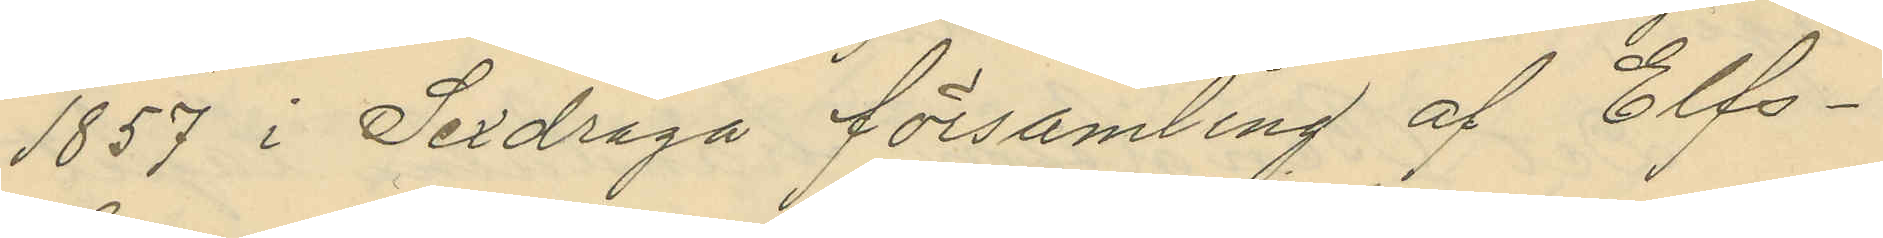1857 i Sexdräga församling af Elfs¬
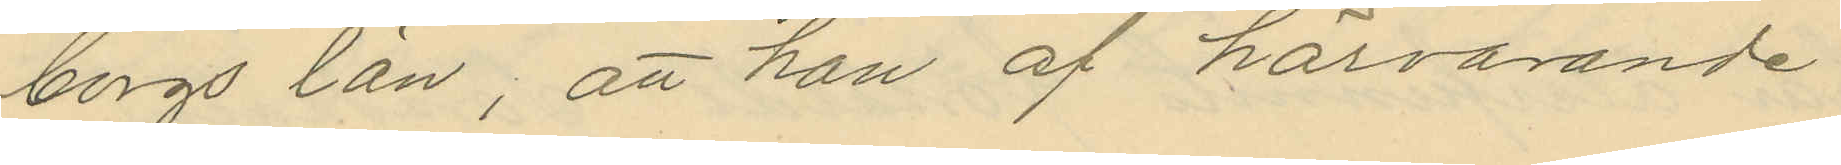borgs län, att han af härvarande
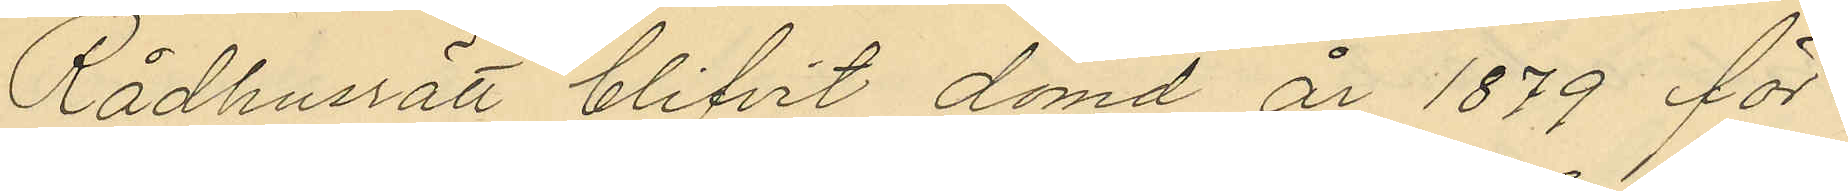Rådhusrätt blifvit dömd år 1879 för
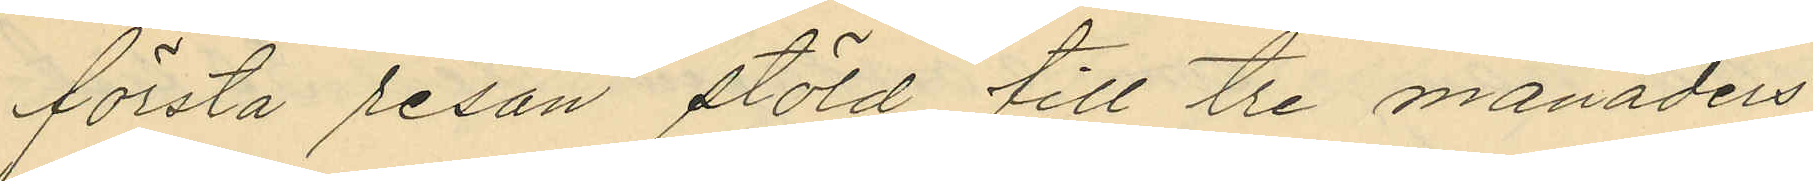första resan stöld till tre månaders
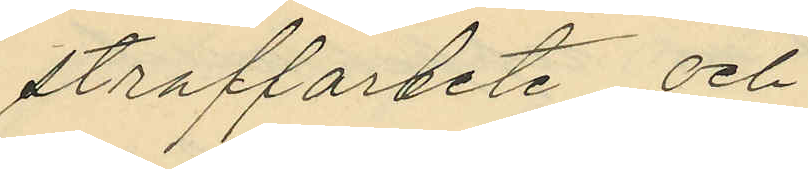straffarbete och
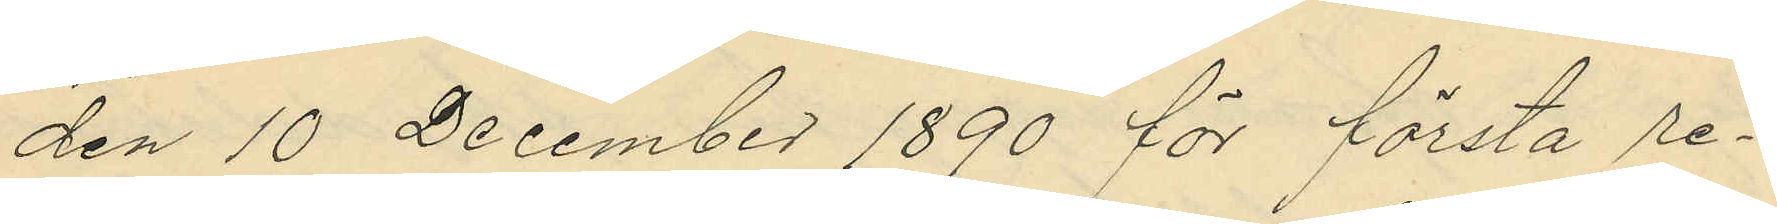den 10 December 1890 för första re¬
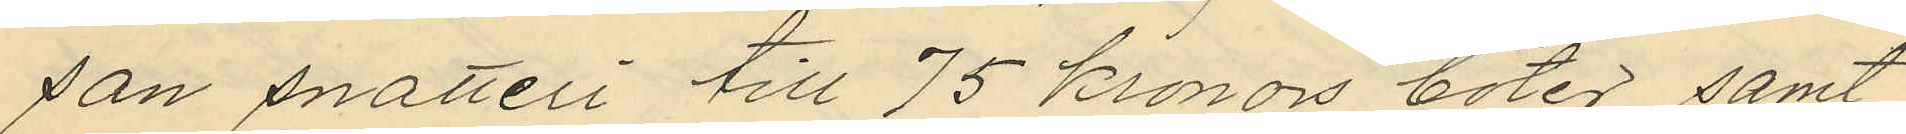san snatteri till 75 kronors böter, samt
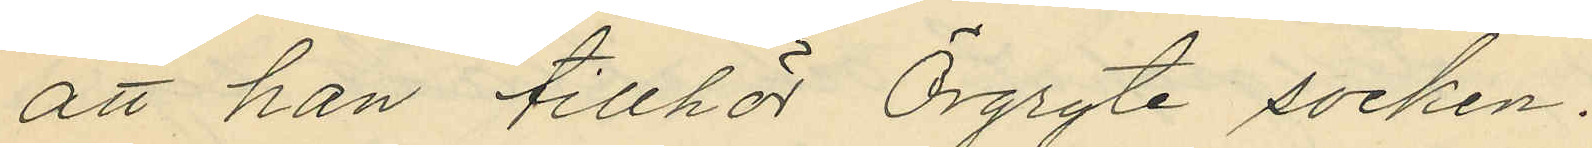att han tillhör Örgryte socken.
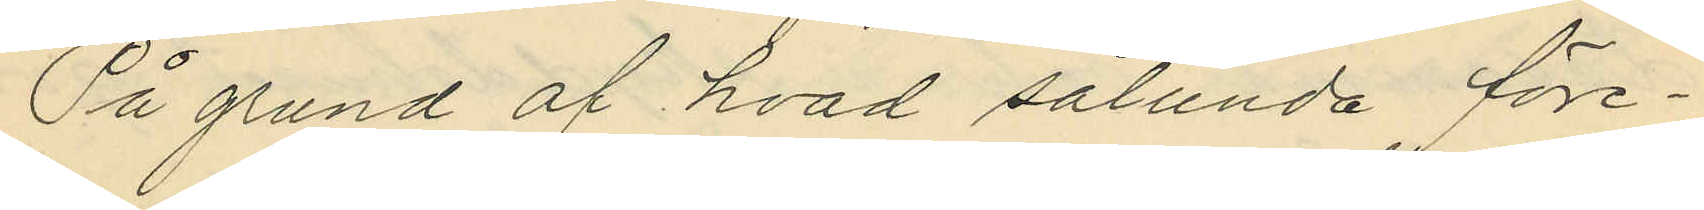På grund af hvad sålunda före¬
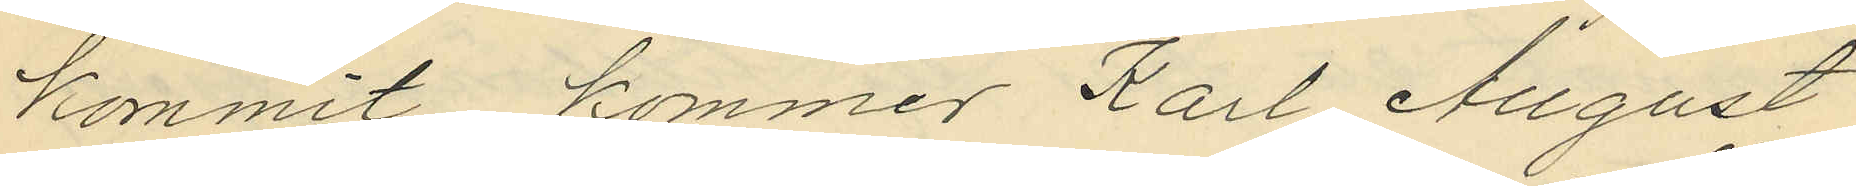kommit, kommer Karl August
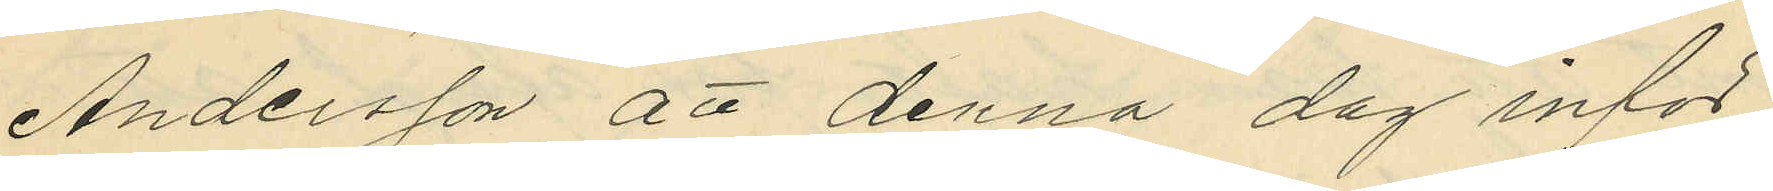Andersson att denna dag inför
